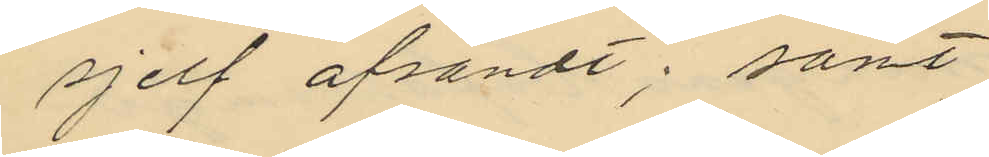sjelf afsändt; samt
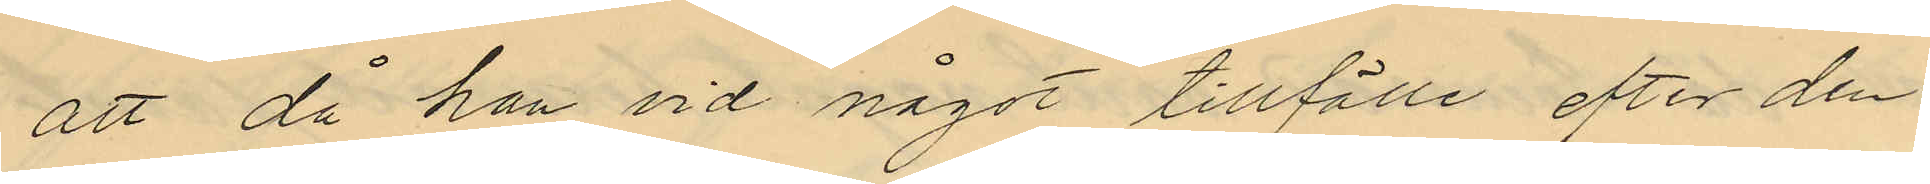att då han vid något tillfälle efter den
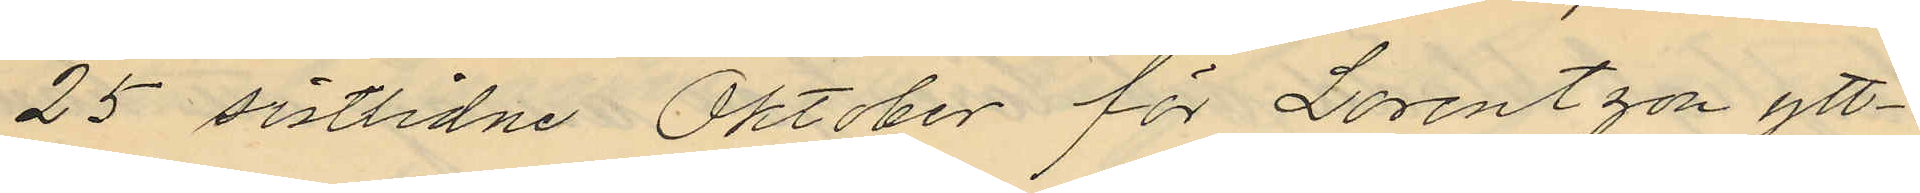25 sistlidne Oktober för Lorentzon ytt¬
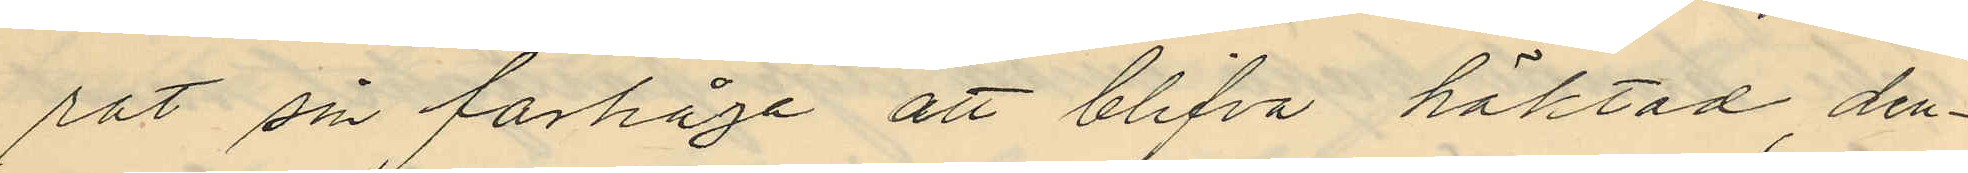rat sin farhåga att blifva häktad, den¬
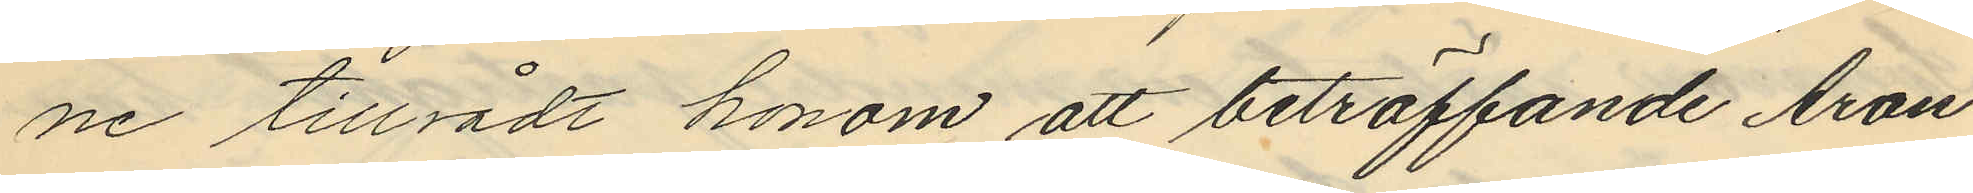ne tillrådt honom att beträffande Aron
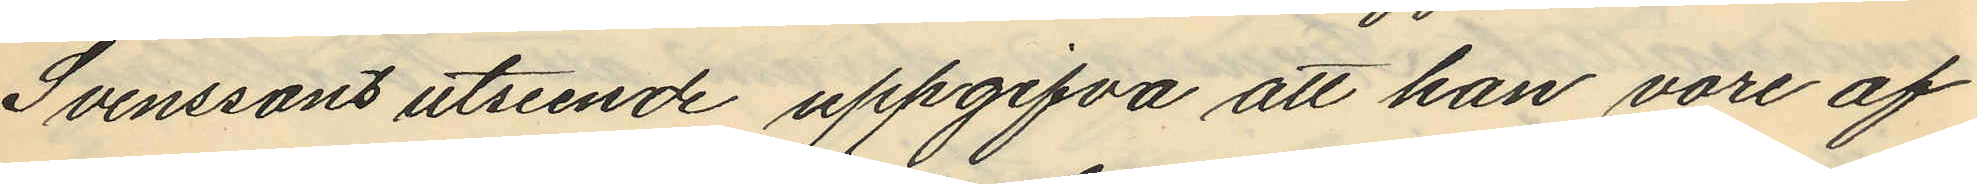Svenssons utseende uppgifva att han vore af
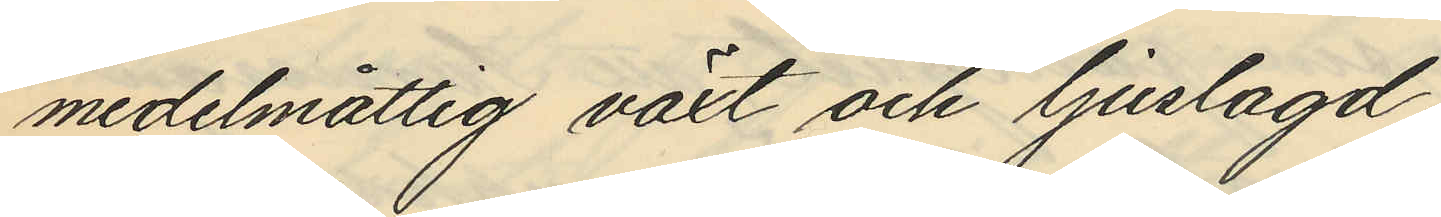medelmåttig växt och ljuslagd.
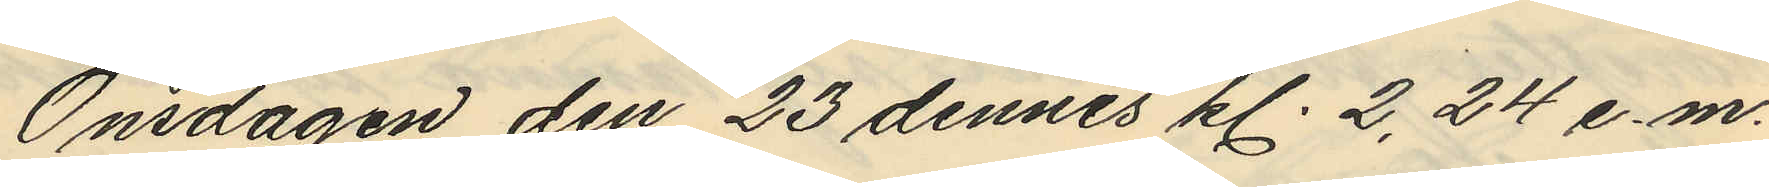Onsdagen den 23 dennes kl. 2,24 e.m.
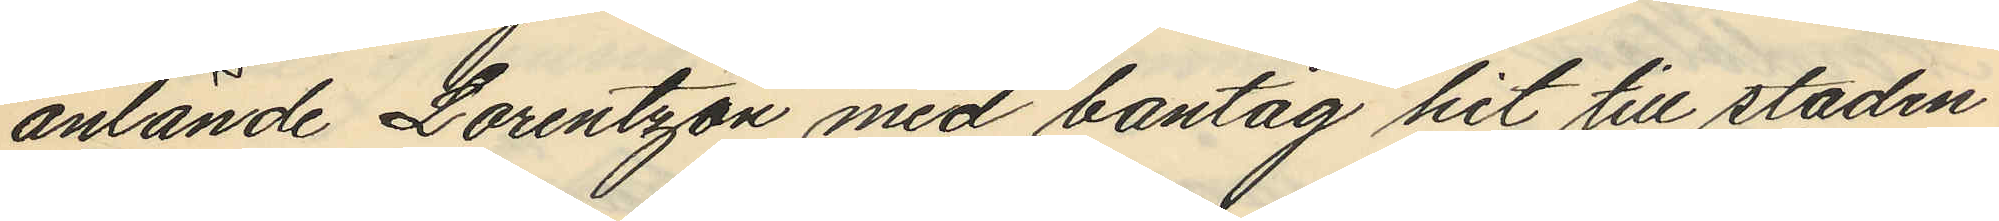anlände Lorentzon med bantåg hit till staden
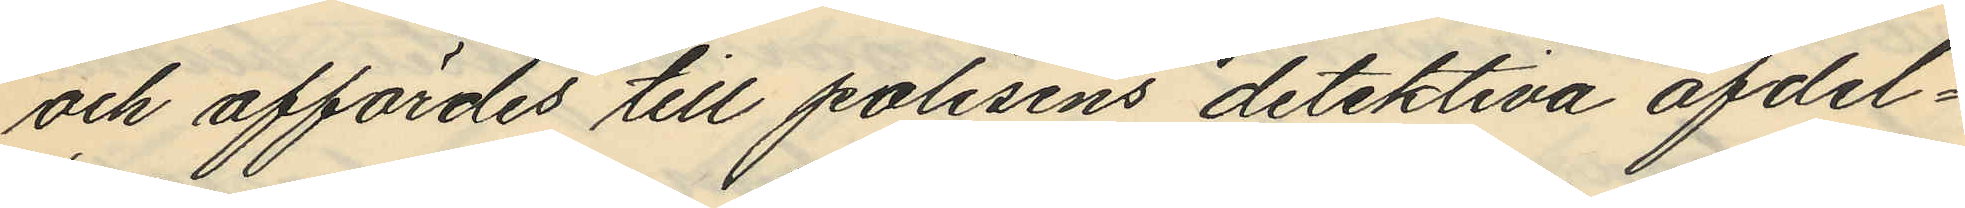och affördes till polisens detektiva afdel¬
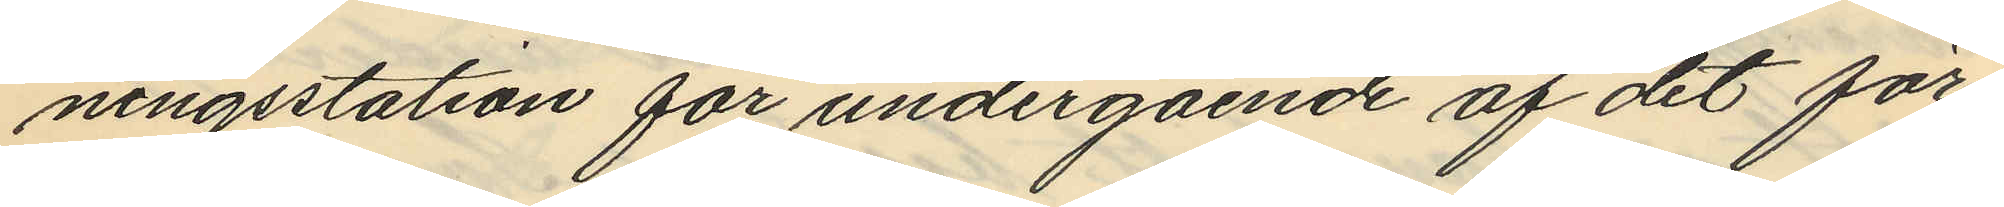ningsstation för undergående af det för¬
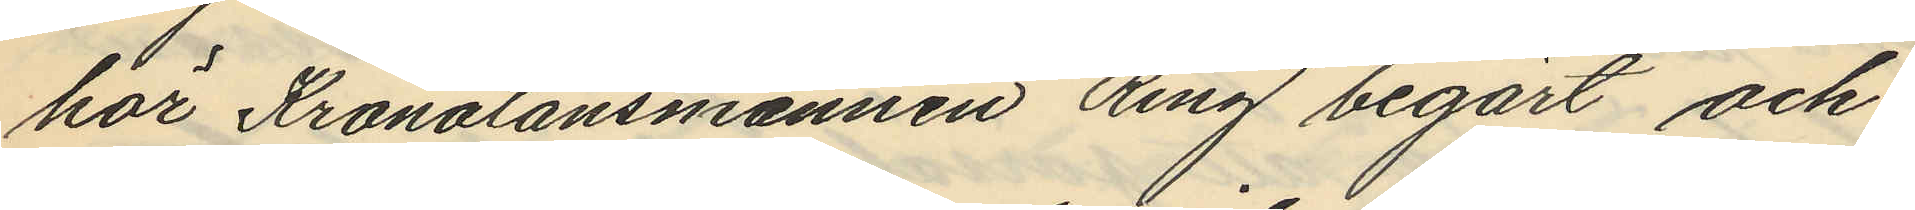hör Kronolänsmannen Ring begärt och
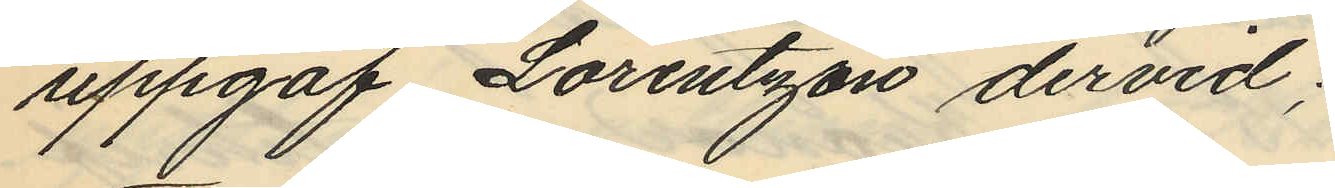uppgaf Lorentzon dervid;
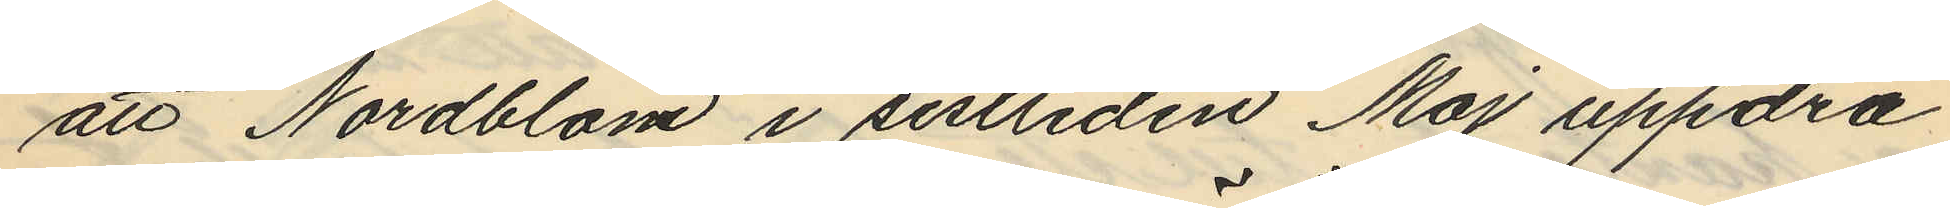att Nordblom i sistliden Maj uppdra
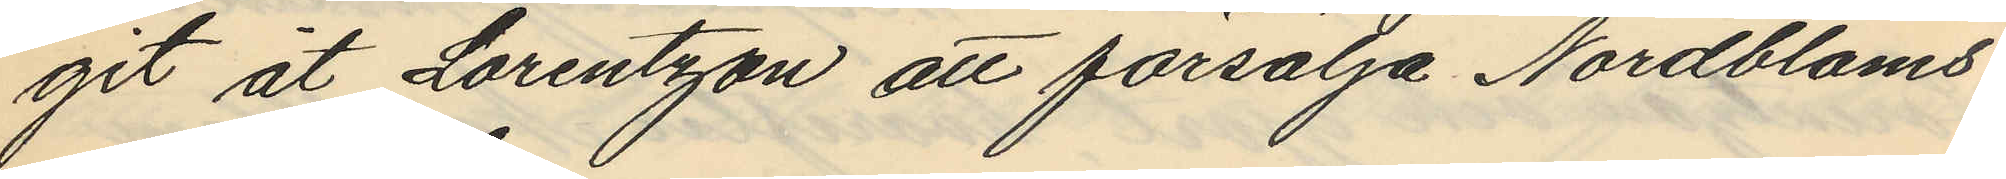git åt Lorentzon att försälja Nordbloms
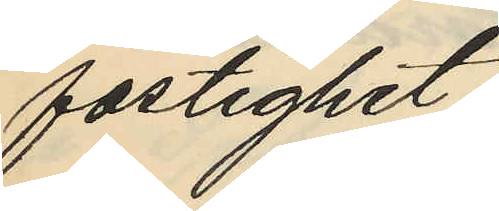fastighet;
